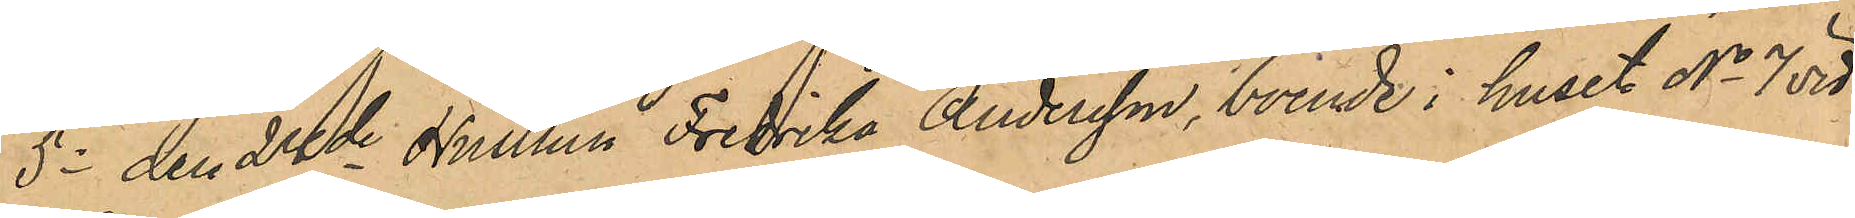5o den 24de Hustrun Fredrika Andersson, boende i huset No 7 vid
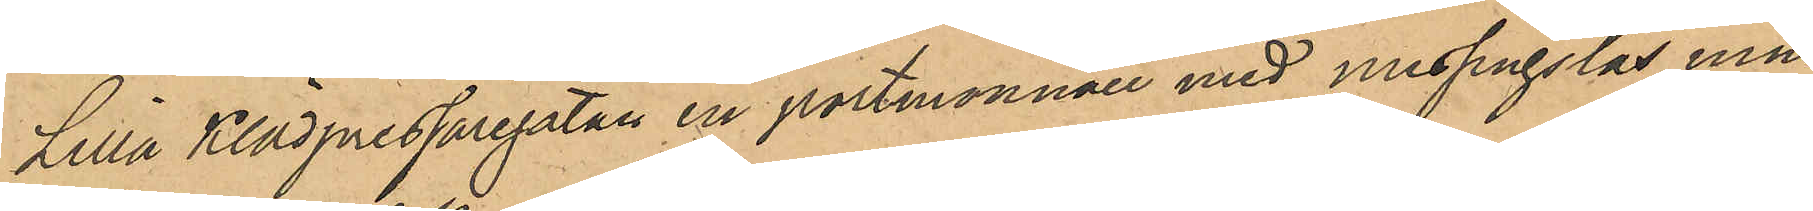Lilla Klädpressaregatan en portmonnaie med messingslås, inne¬
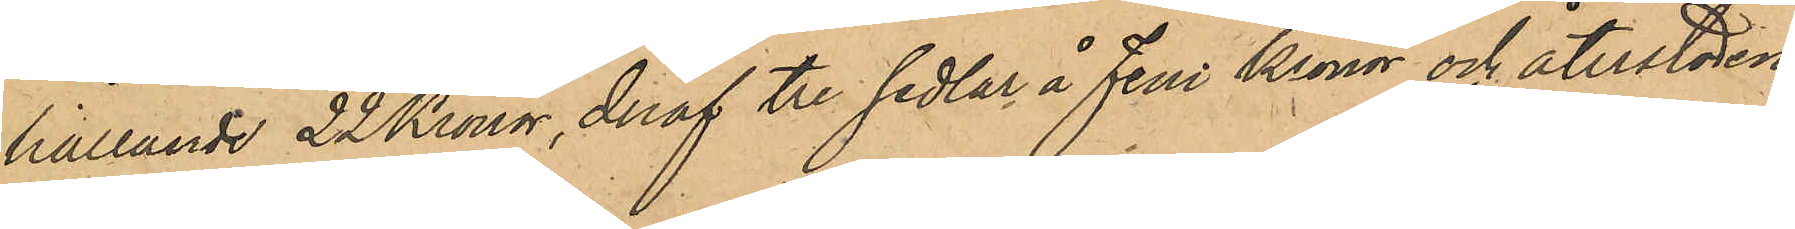hållande 22 Kronor, deraf tre sedlar å fem kronor och återstoden
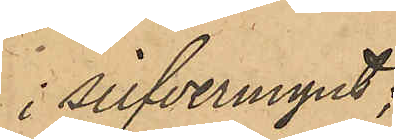i silfvermynt;
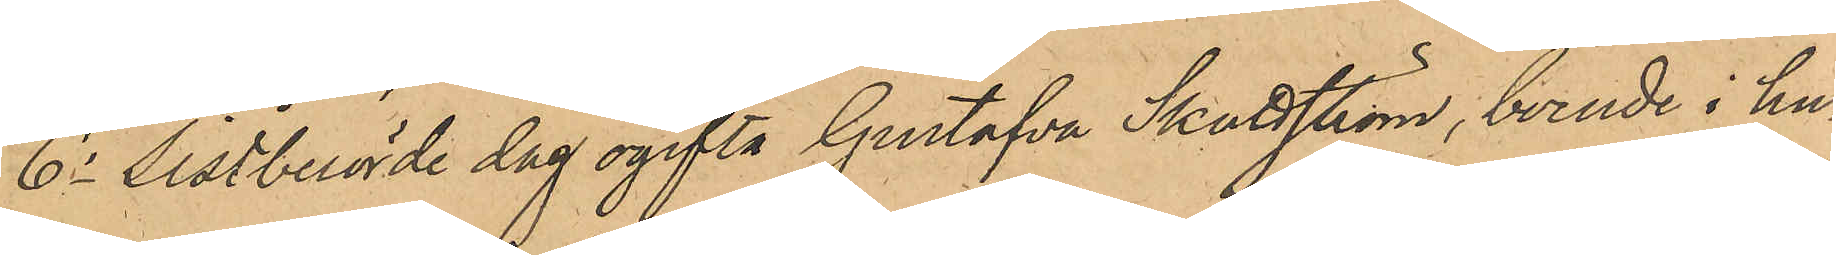6o sistberörde dag ogifta Gustafva Skattström, boende i hu¬
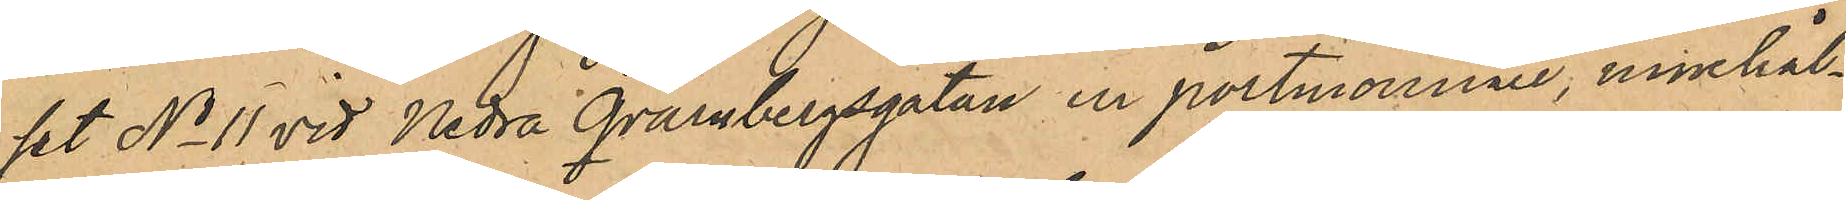set No 11 vid Nedra Qvarnbergsgatan en portmonnaie, innehål¬
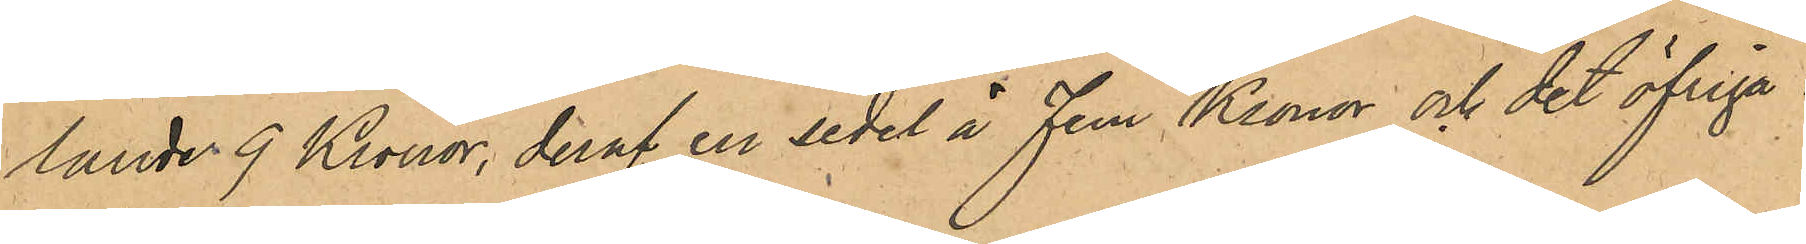lande 9 Kronor, deraf en sedel å fem Kronor och det öfriga i
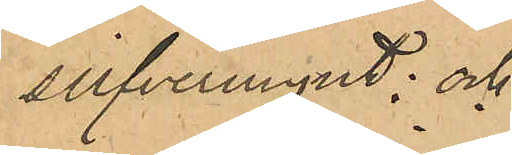silfvermynt; och
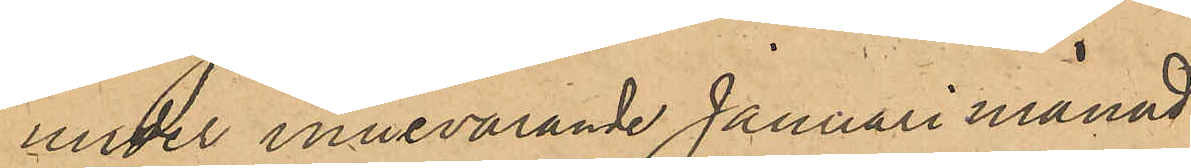under innevarande Januari månad
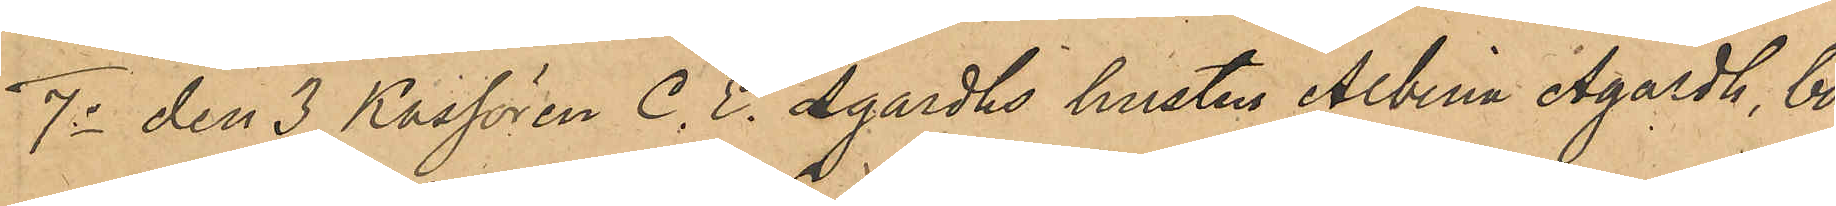7o den 3 Kassören C. E. Agardhs hustru Albina Agardh, bo¬
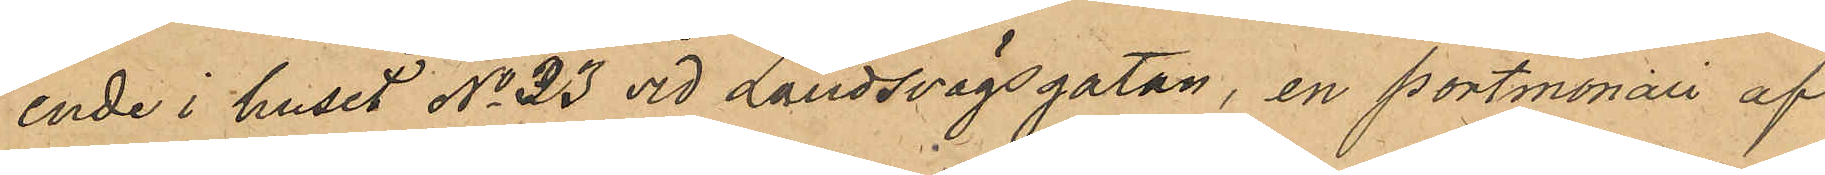ende i huset No 33 vid Landsvägsgatan, en portmonaie af
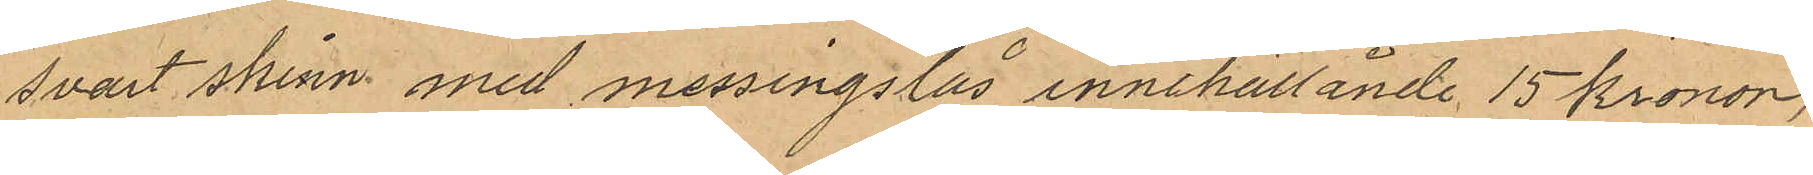svart skinn med messingslås innehållande 15 kronor,
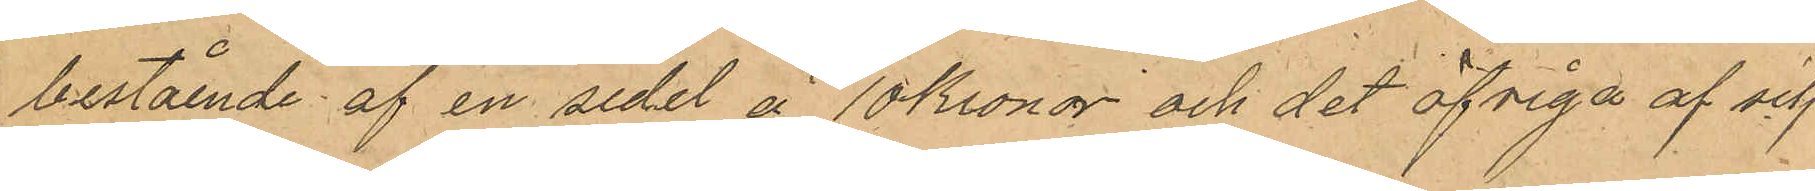bestående af en sedel å 10 kronor och det öfriga af silf¬
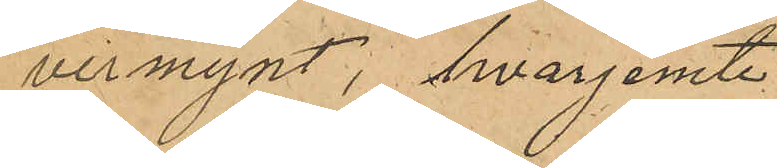vermynt, hvarjemte
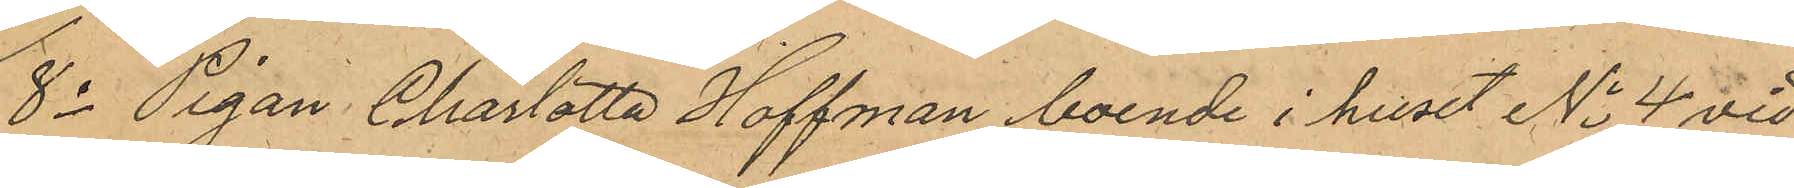8o Pigan Charlotta Hoffman boende i huset No 4 vid
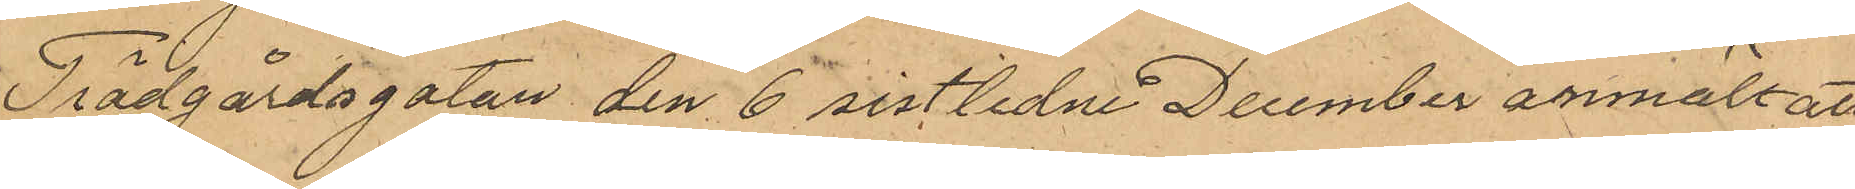Trädgårdsgatan den 6 sistlidne December anmält att
